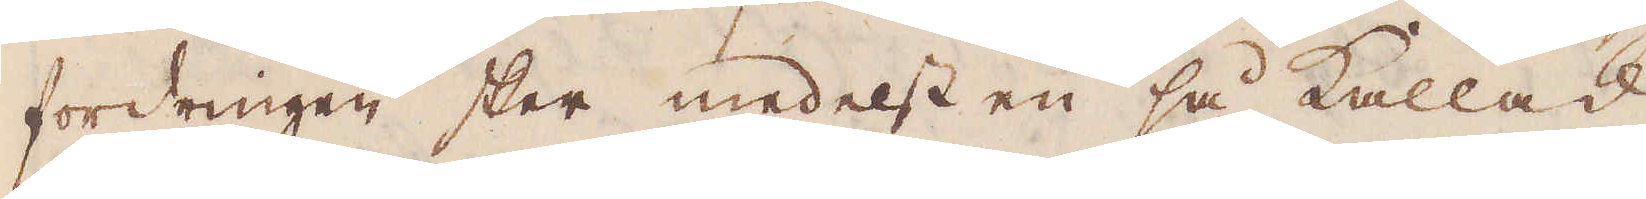fordringen sker medelst en så kallad
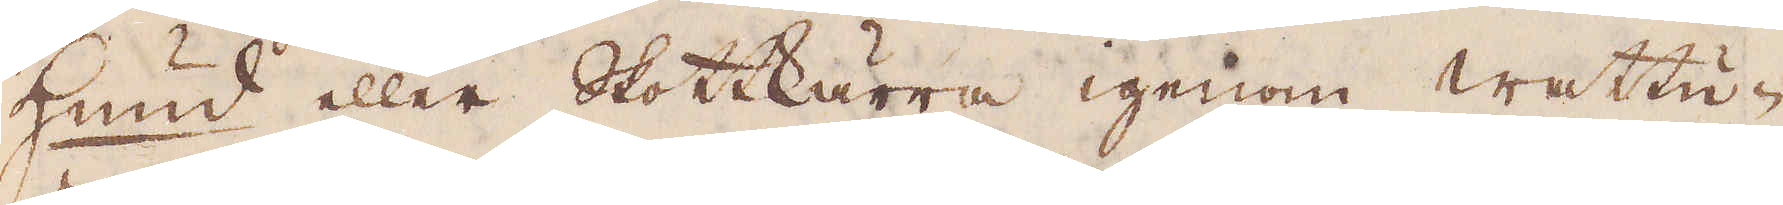Hund eller Skottkärra igenom Wattu-
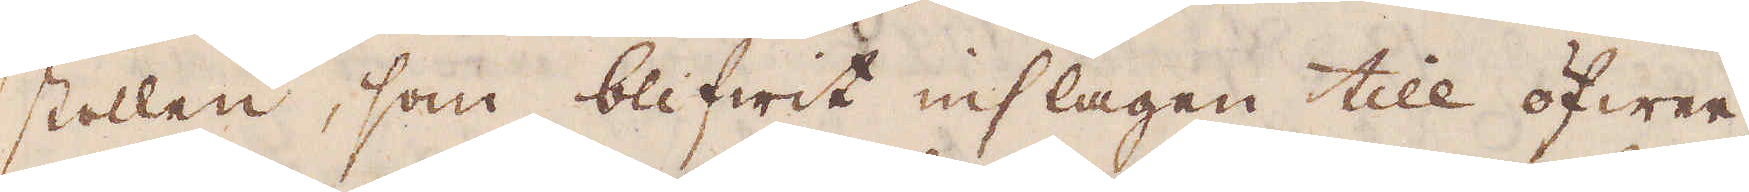stollen, som blifwit inslagen till öfwer
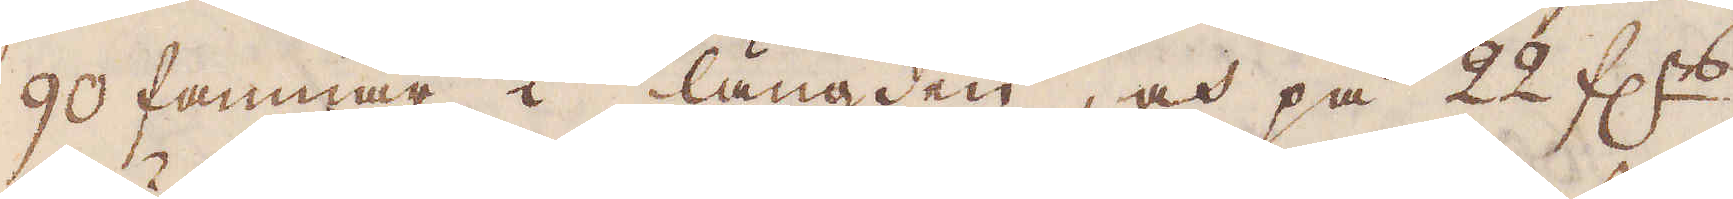90 famnar i längden, och på 22 f:rs
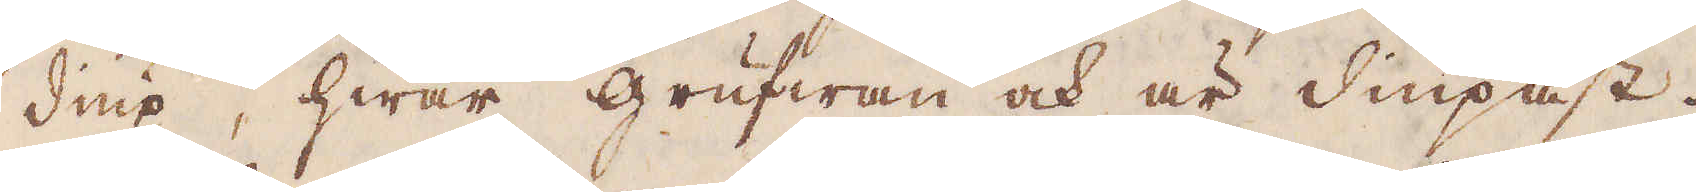diup, hwar grufwan och är diupast.
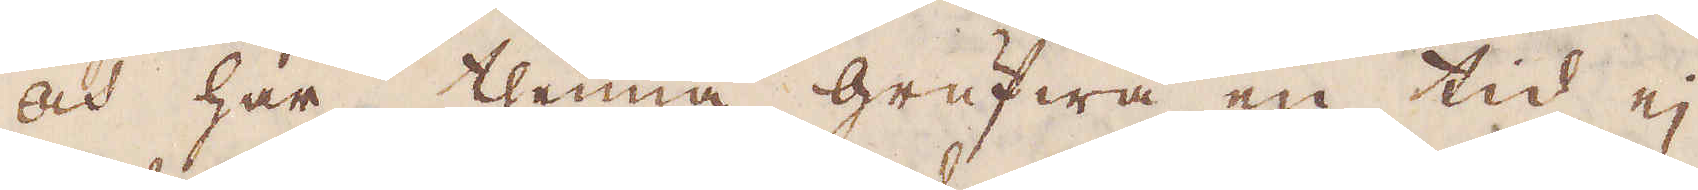Och har thenna grufwa en tid ej
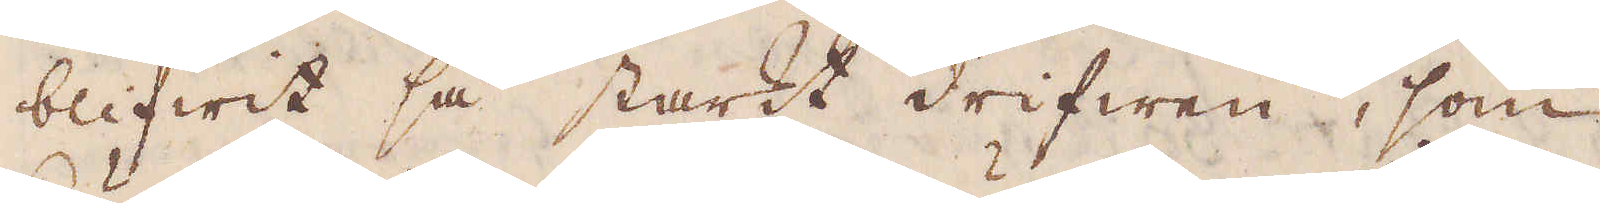blifwit så starkt drifwen, som
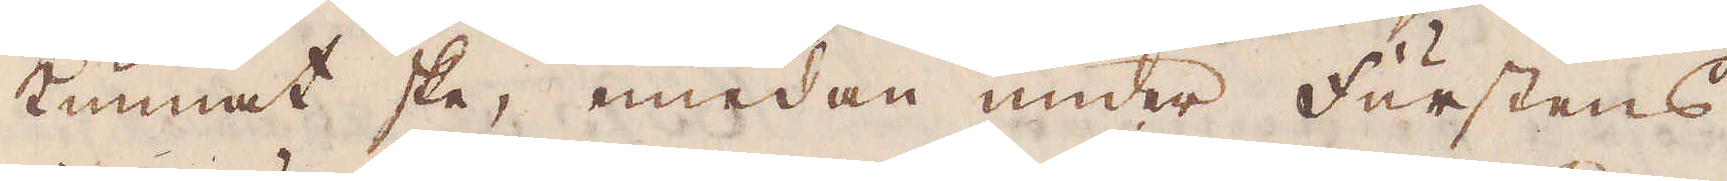kunnat ske, emedan under Furstens,
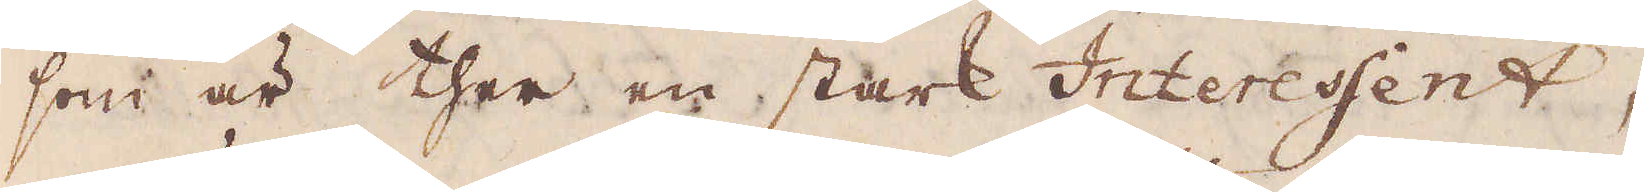som är ther en stark Interessent,
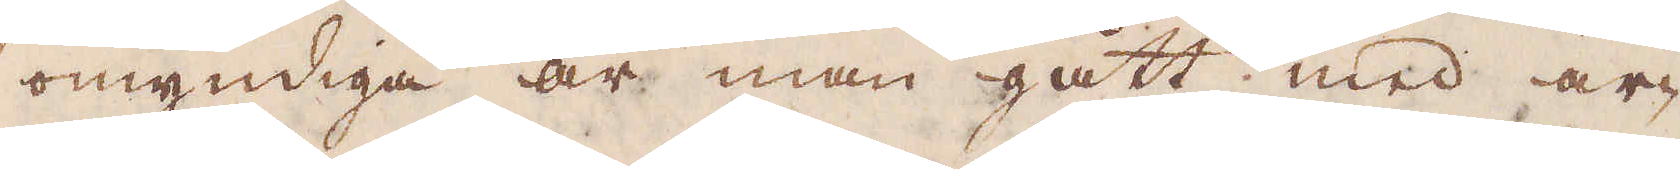omyndiga år man gått med ar-
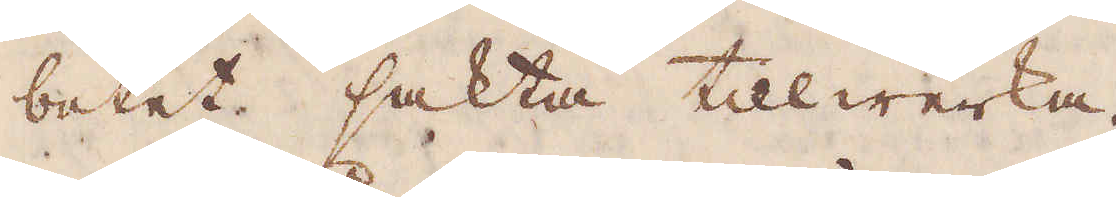betet sakta tillwerka.
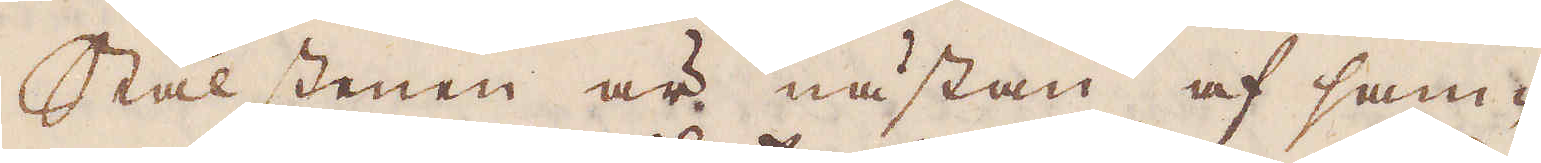Stålstenen är nästan af sam-
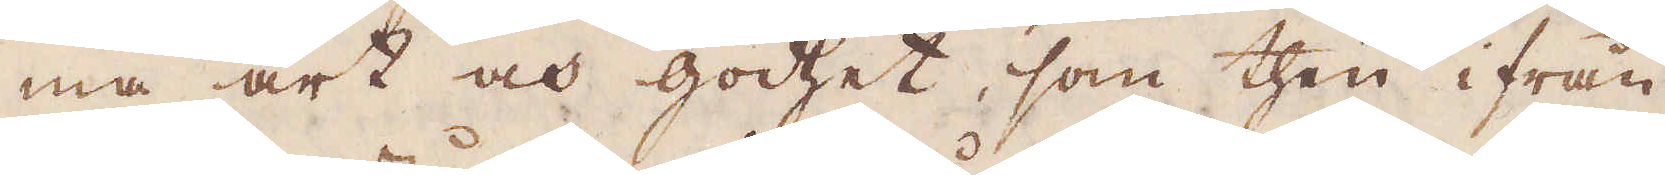ma art och godhet, som then ifrån
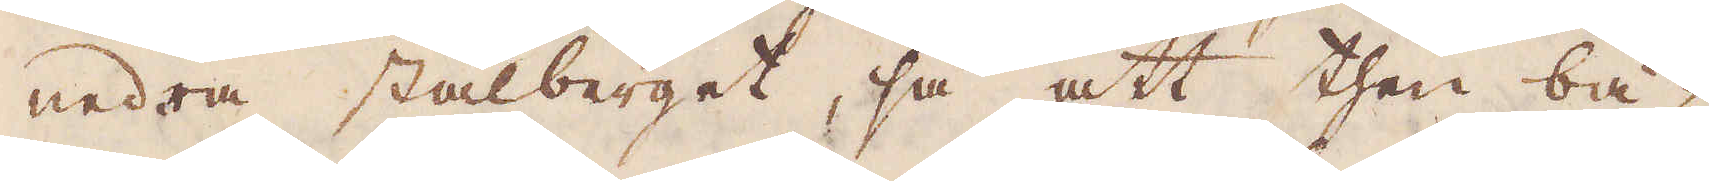nedra stålberget, så att then bä-
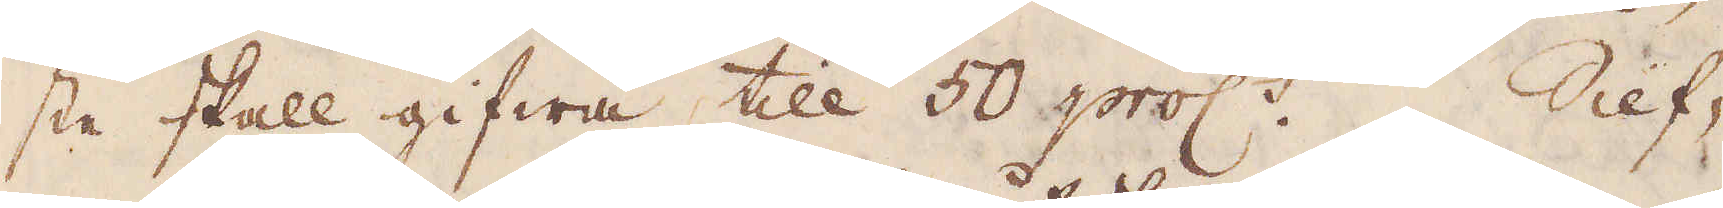ste skall gifwa till 50 proc:t. Silf-
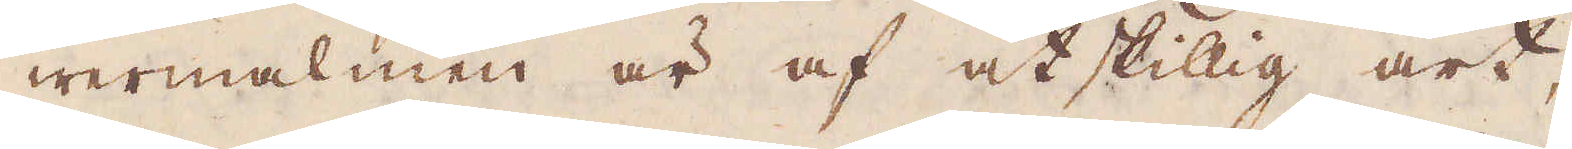wermalmen är af åtskillig art;
